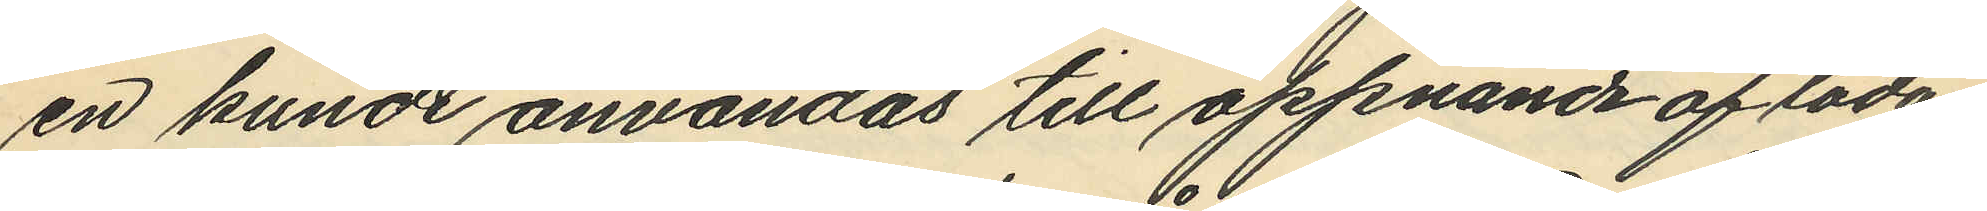en kunde användas till öppnande af lådan
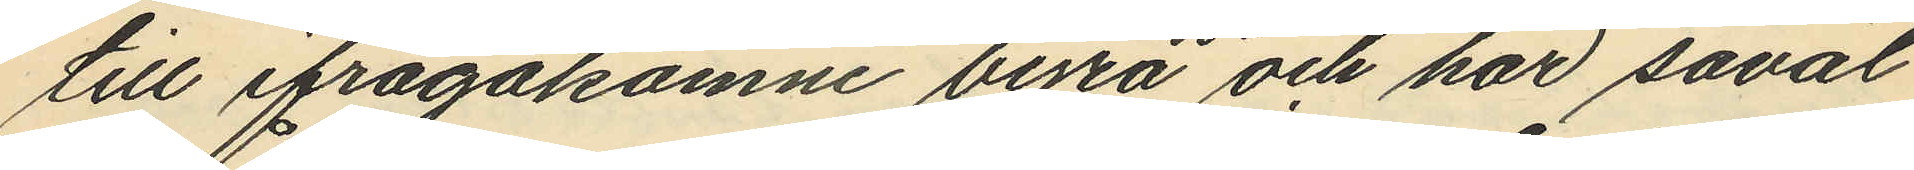till ifrågakomne byrå och har såväl
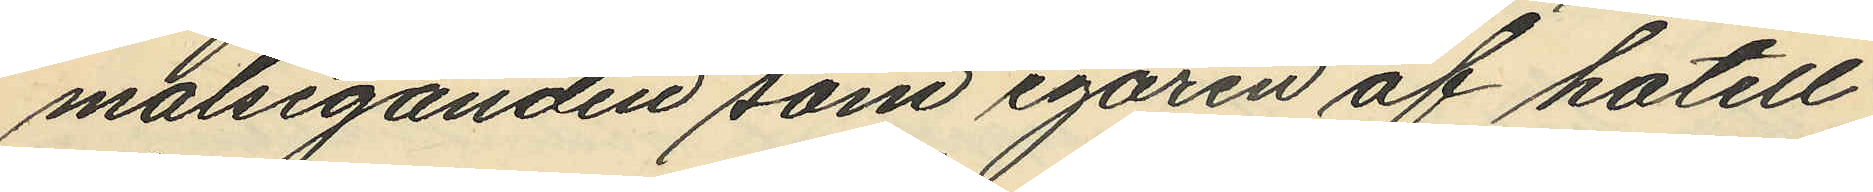målseganden som egaren af hotell
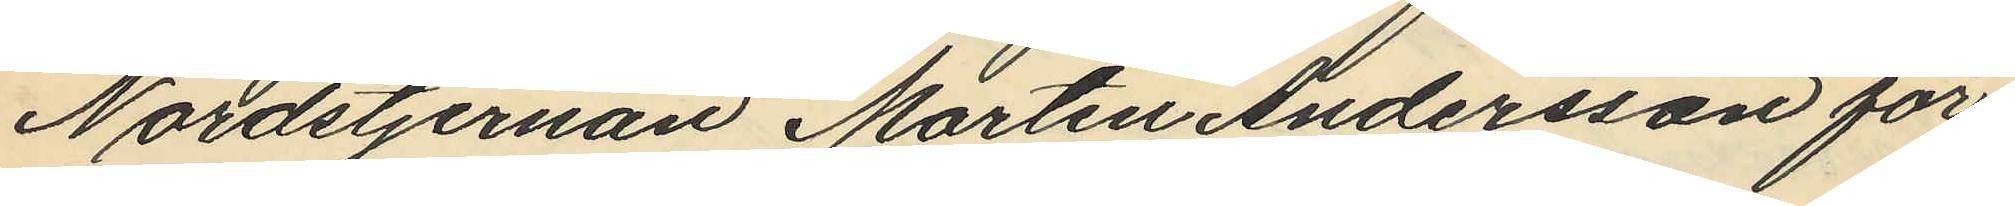Nordstjernan Martin Andersson för¬
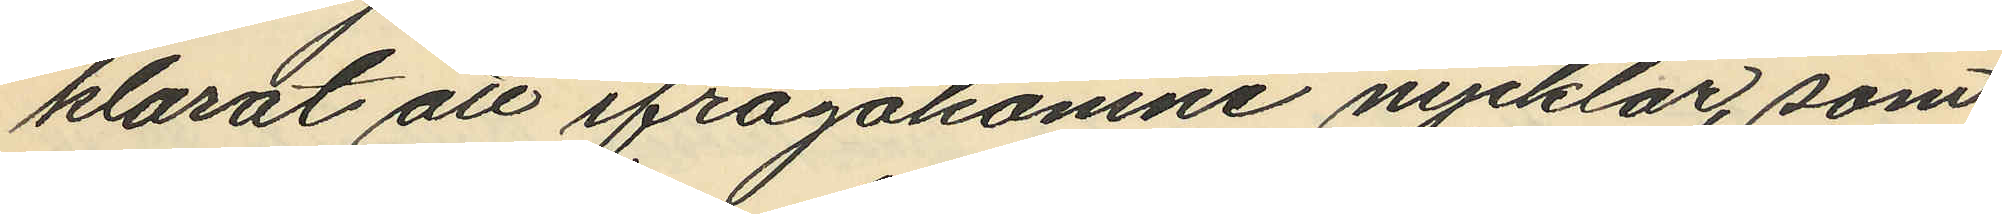klarat att ifrågakomne nycklar, som
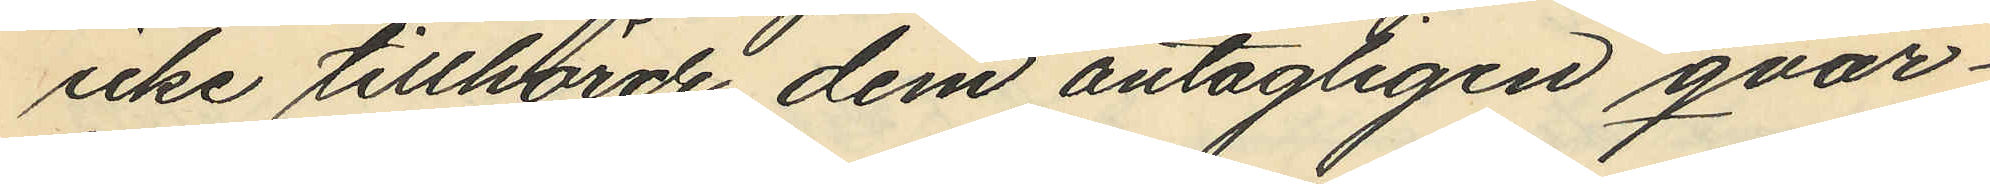icke tillhörde dem antagligen qvar¬
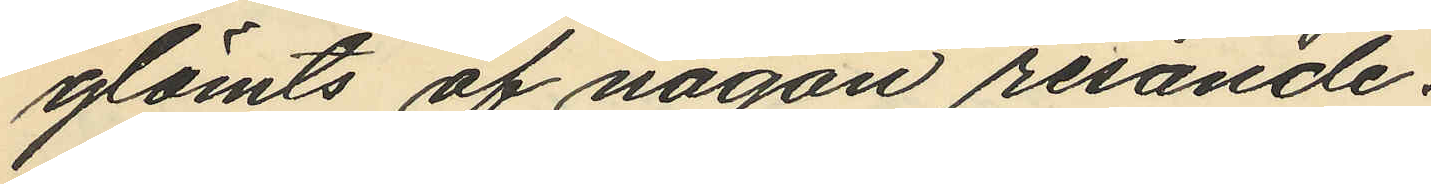glömts af någon resande.
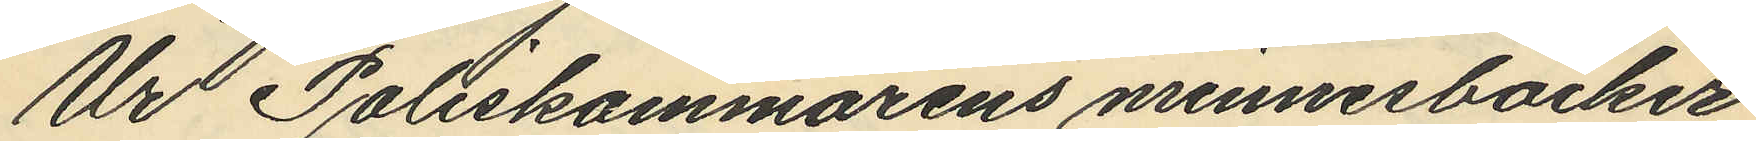Ur Poliskammarens minnesböcker
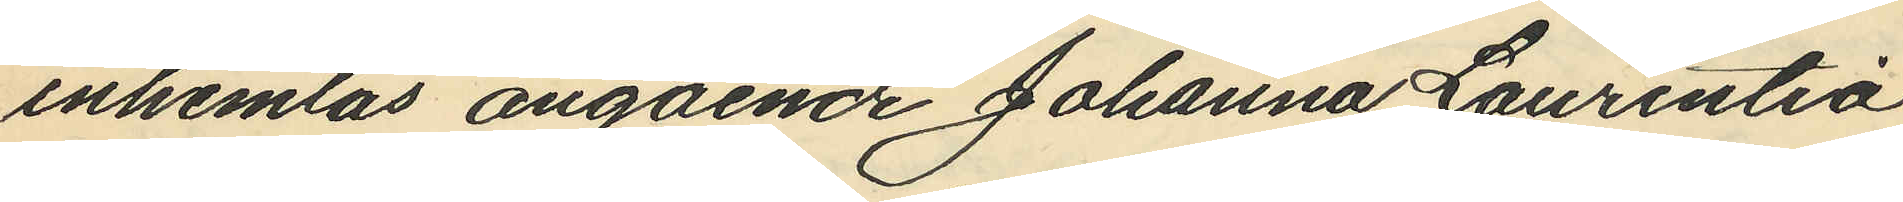inhemtas angående Johanna Laurentia
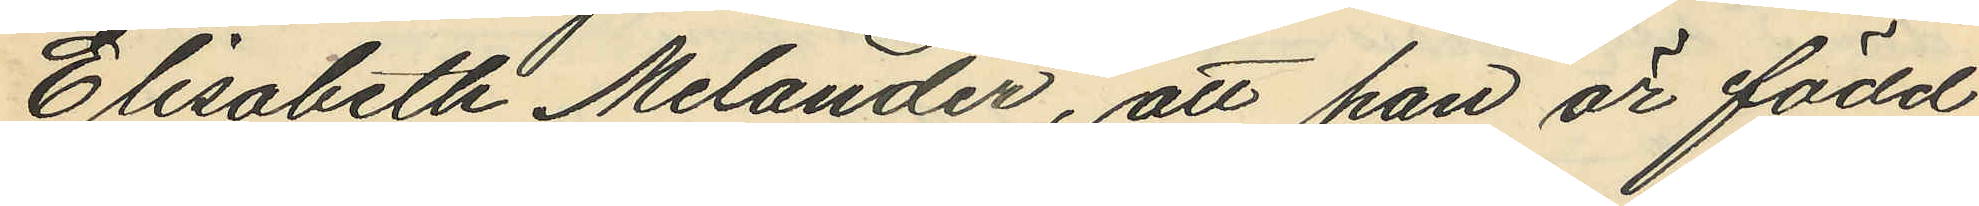Elisabeth Melander, att hon är född
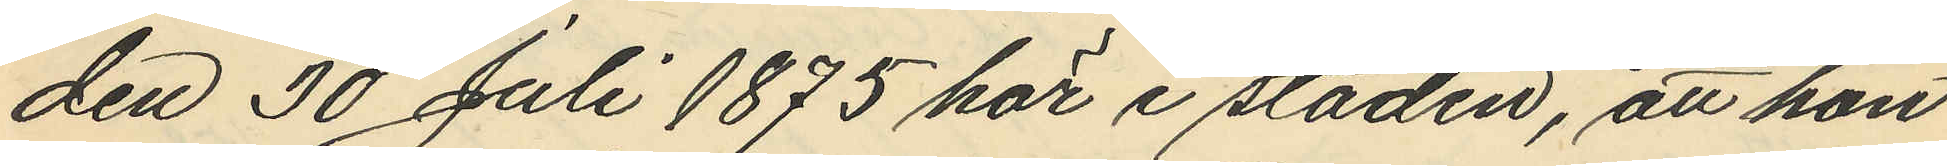den 30 Juli 1875 här i staden, att hon
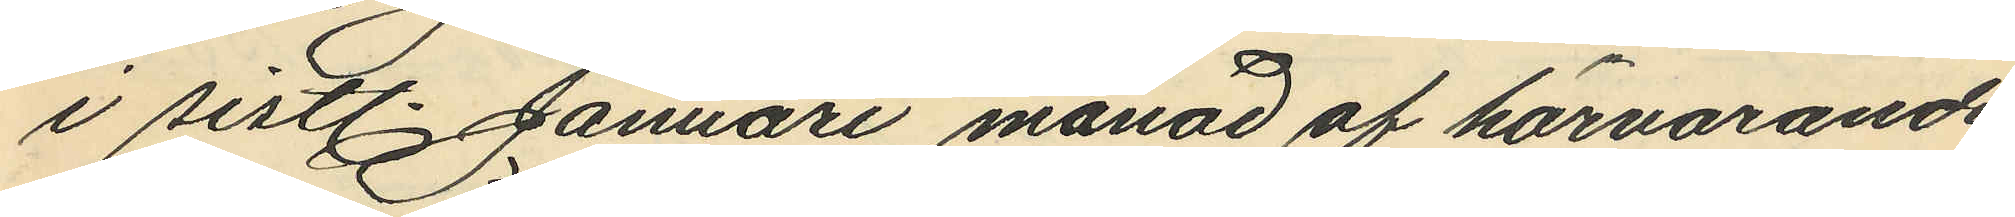i sistl. Januari månad af härvarande
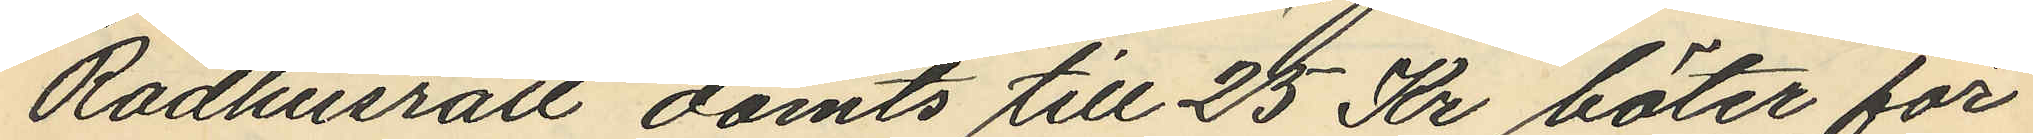Rådhusrätt dömts till 25 Kr böter för
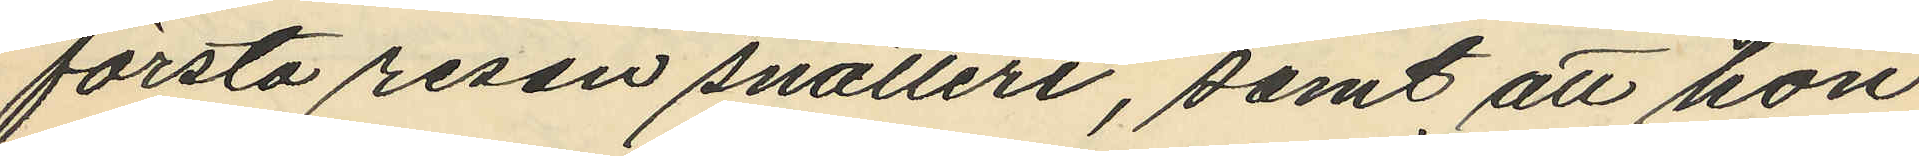första resan snatteri, samt att hon
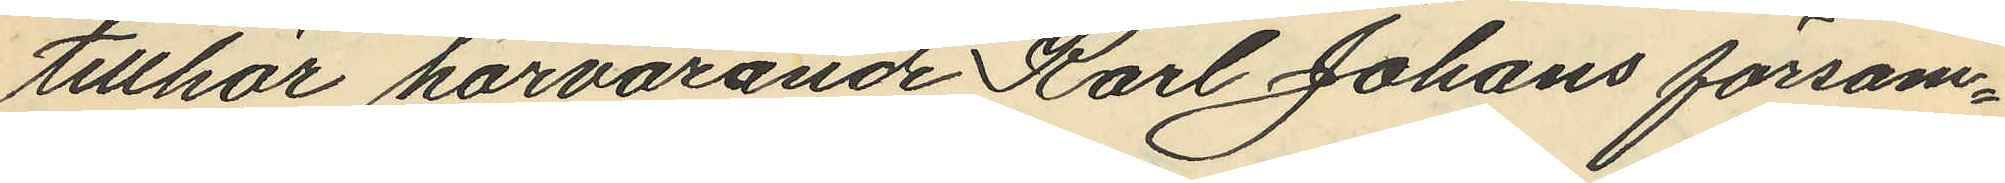tillhör härvarande Karl Johans försam¬
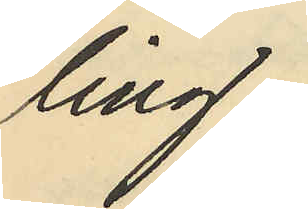ling.
